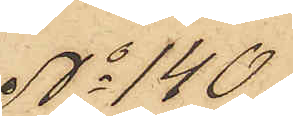No 140.
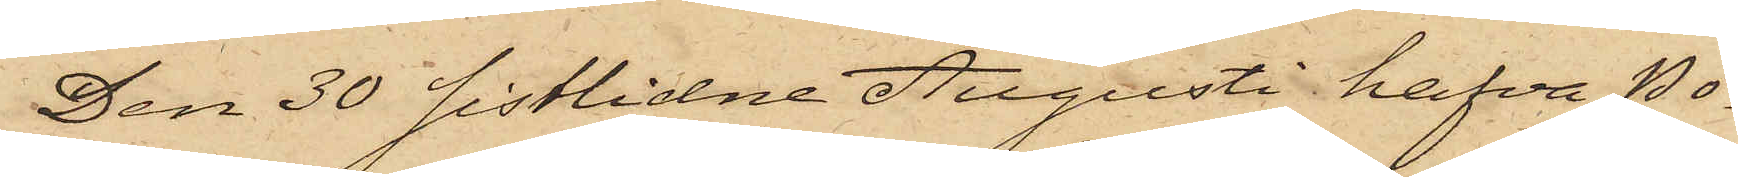Den 30 sistlidne Augusti hafva Po¬
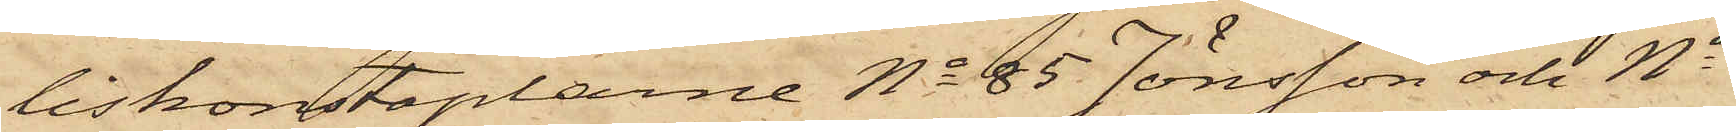liskonstaplarne No 85 Jönsson och No
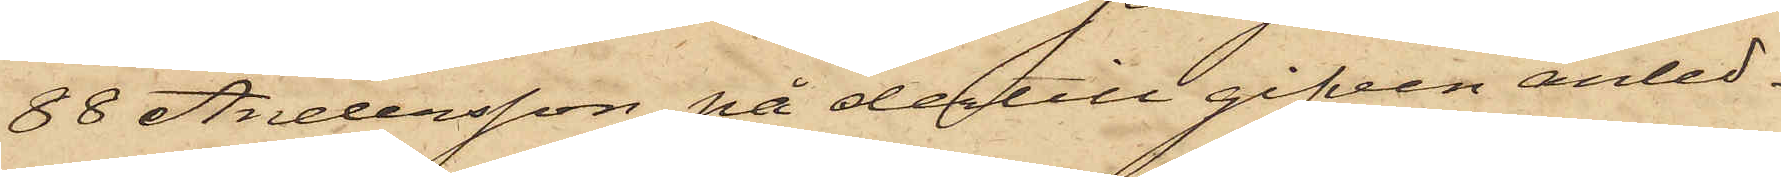88 Andersson på dertill gifven anled¬
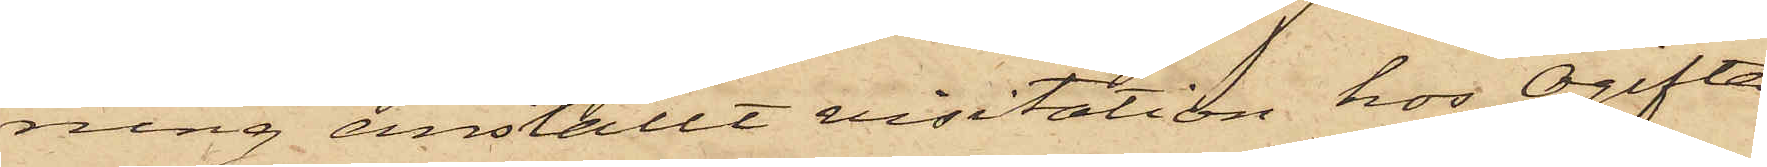ning anställt visitation hos Ogifta
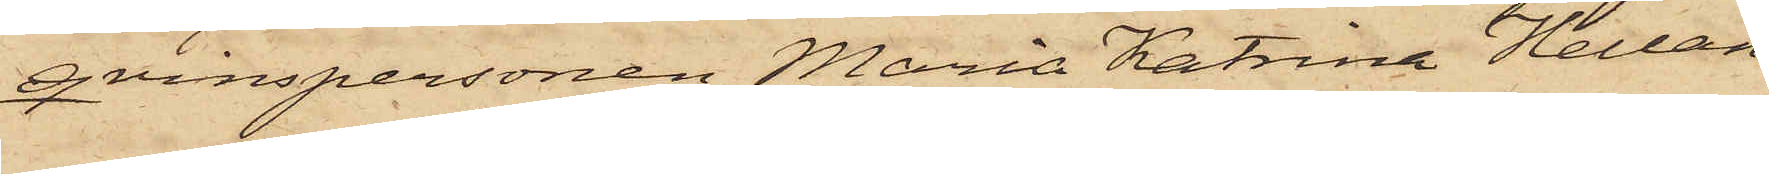qvinspersonen Maria Katrina Hellan¬
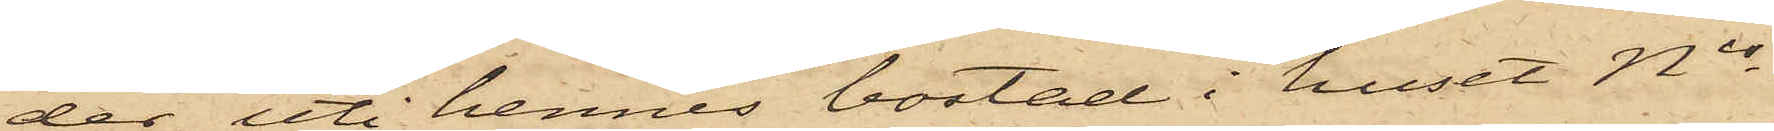der, uti hennes bostad i huset Nis
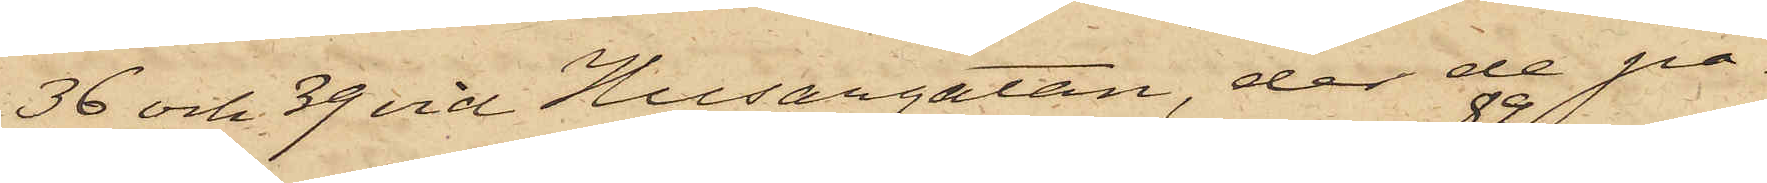36 och 39 vid Husargatan, der de på
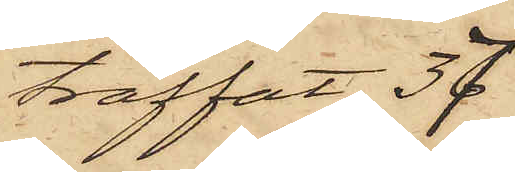träffat 37
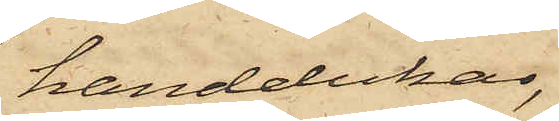handdukar,
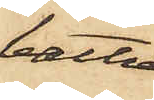bättre
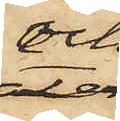och
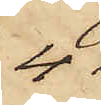4
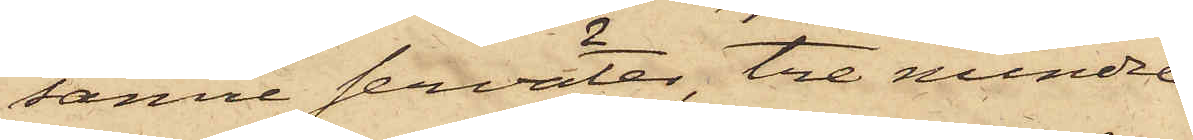sämre serväter, tre mindre
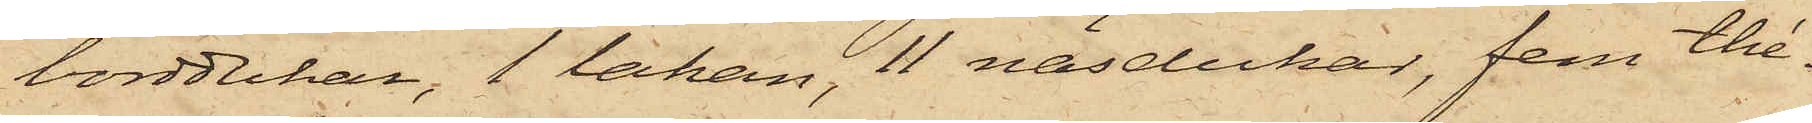borddukar, 1 lakan, 11 näsdukar, fem thé¬
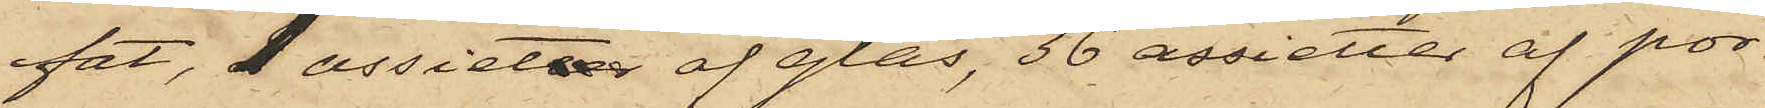fat, 1 assieter af glas, 36 assietter af por¬
